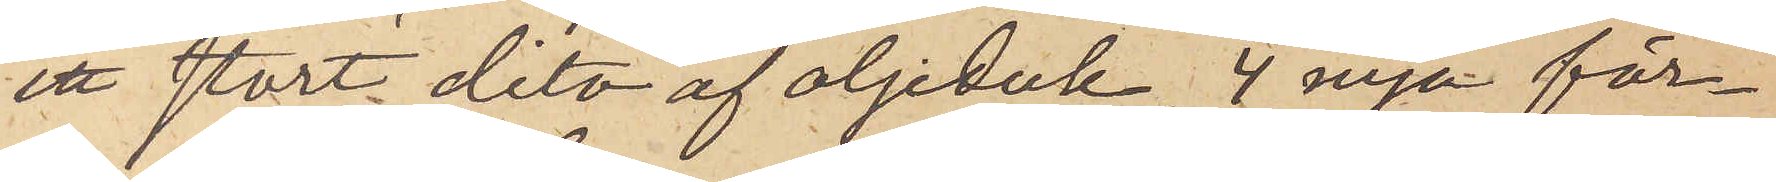ett stort dito af oljeduk, 4 nya för¬
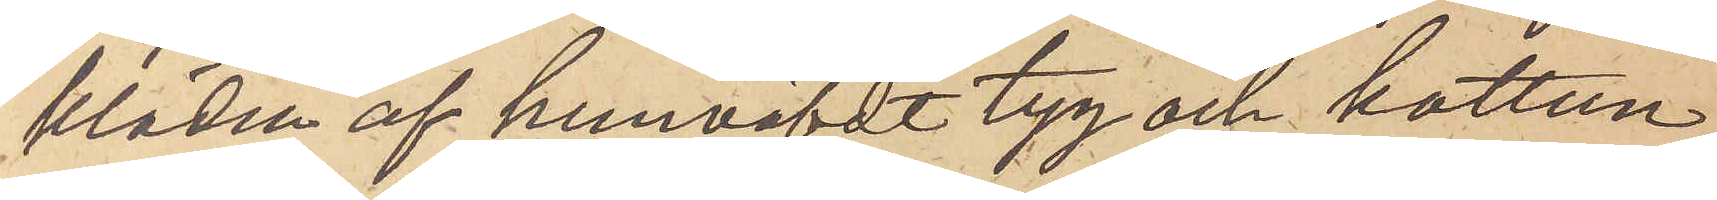kläden af hemväfdt tyg och kattun,
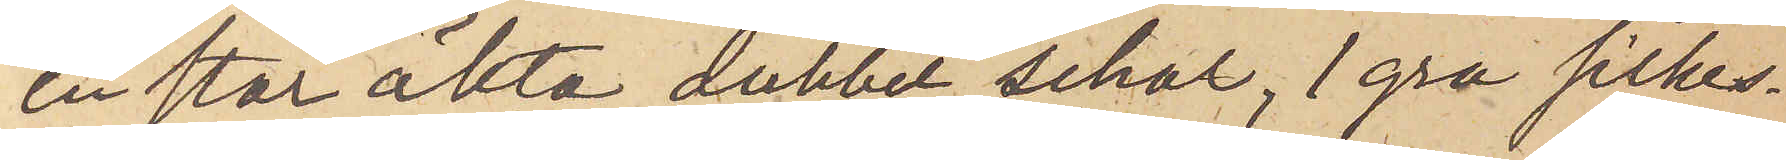en stor äkta dubbel schal, 1 grå silkes¬
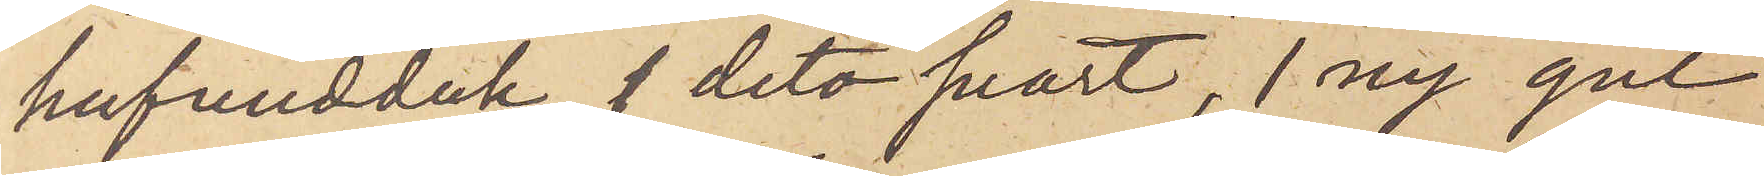hufvudduk, 1 dito svart, 1 ny gul
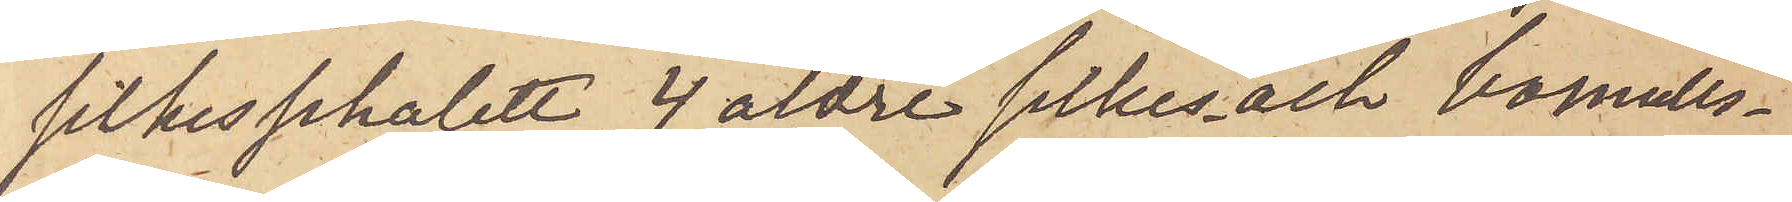silkeschalett, 4 äldre silkes- och bomulls¬
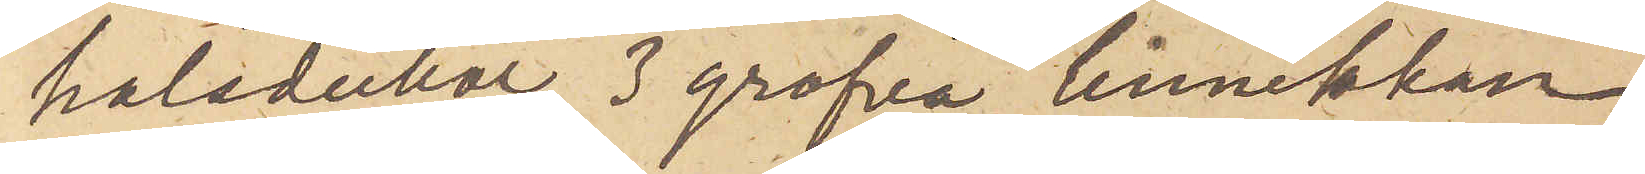halsdukar, 3 grofva linnelakan,
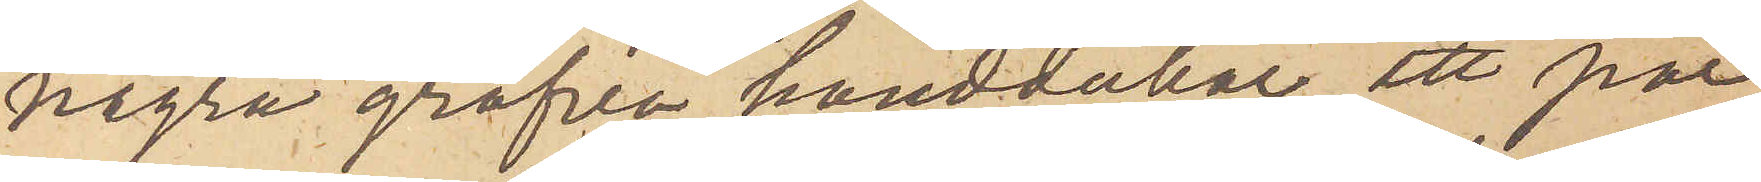några gröfva handdukar, ett par
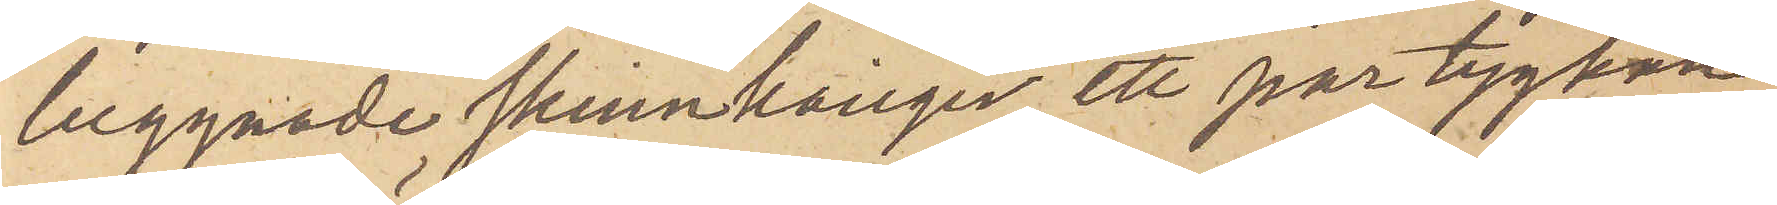beggnade skinnkänger, ett par tygkän¬
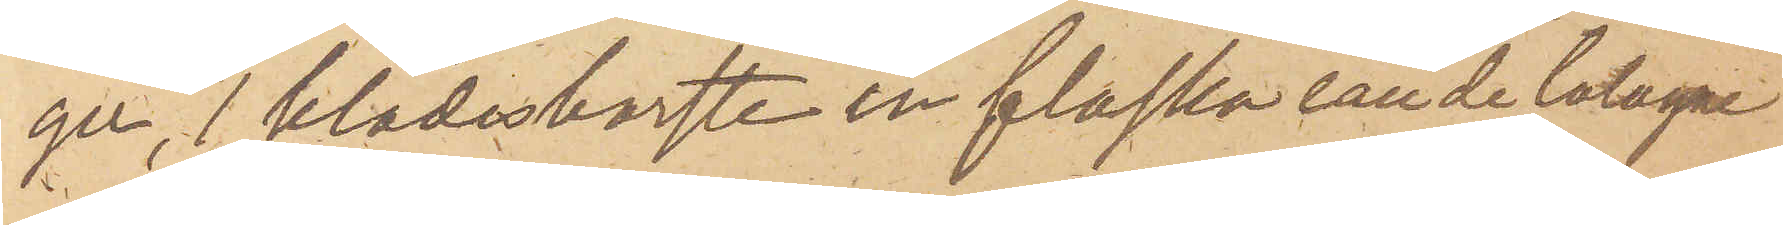ger, 1 klädesborste en flaska eau de Cologne
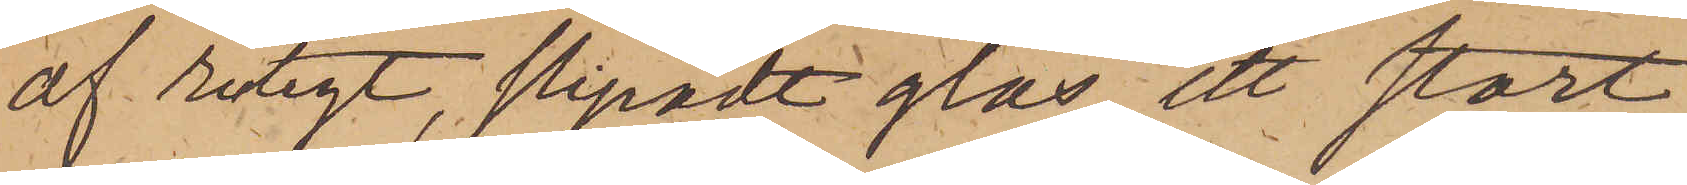af rutigt, slipadt glas, ett stort
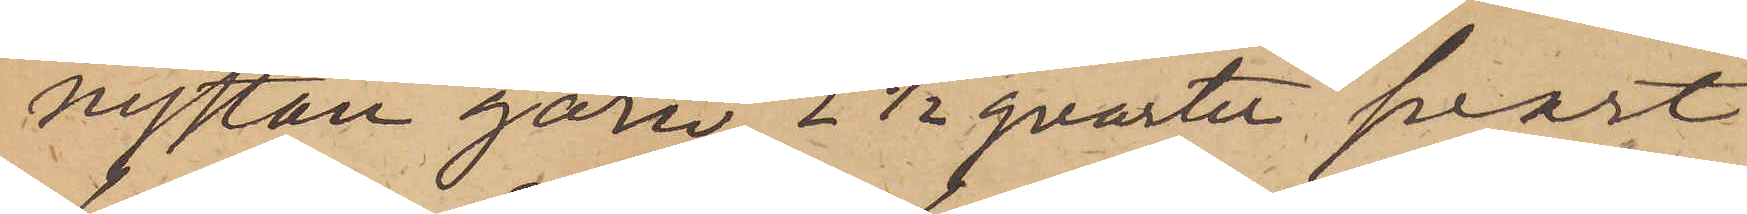nystan garn, 2 1/2 qvarter svart
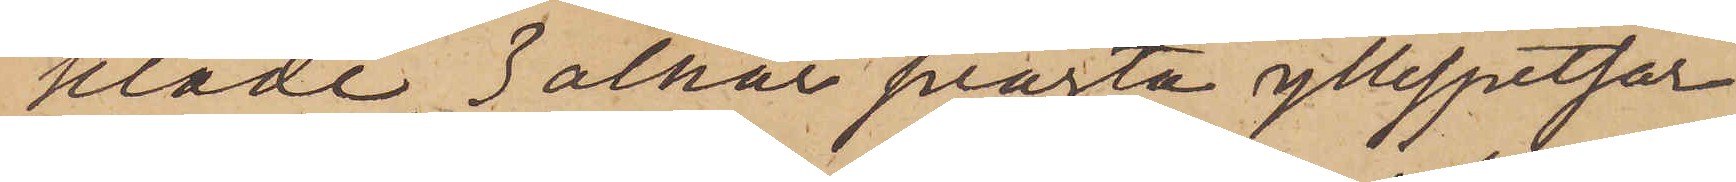kläde, 3 alnar svarta yllespetsar
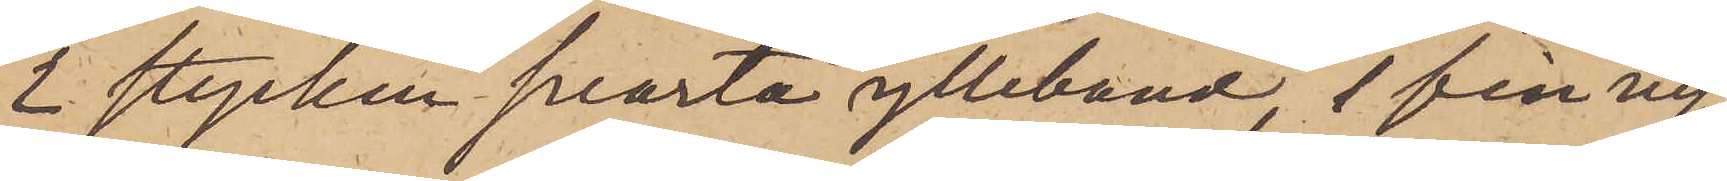2 stycken svarta ylleband, 1 fin ny
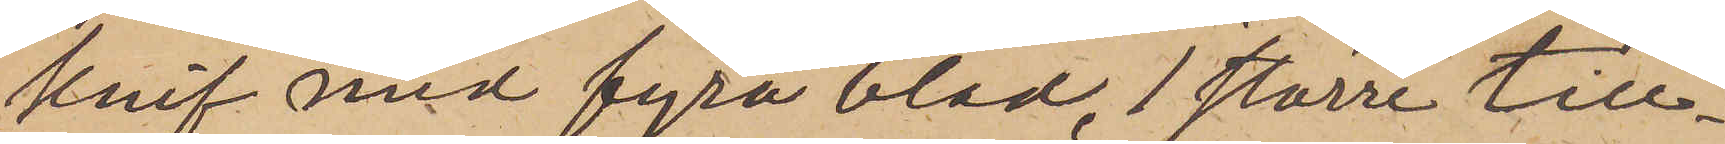knif med fyra blad, 1 större till¬
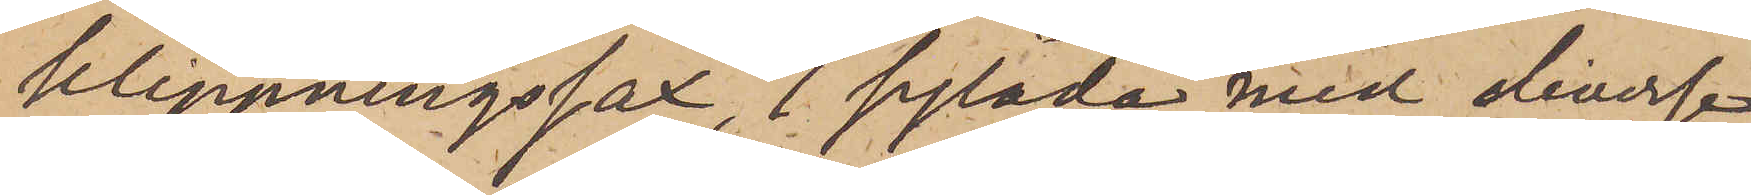klippningssax, 1 sylåda med diverse
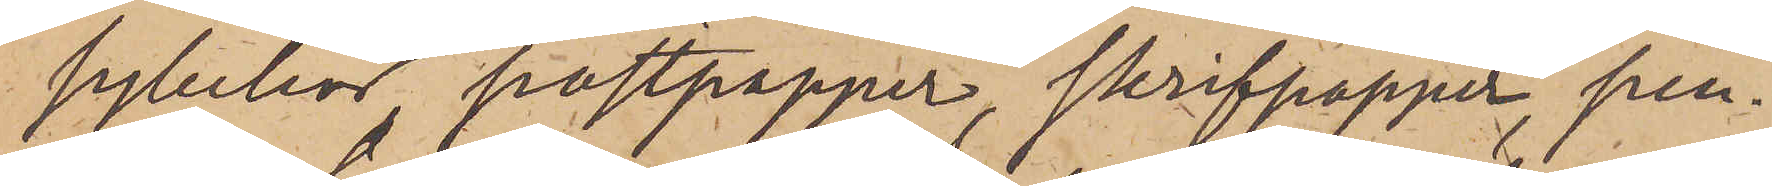sybehör, postpapper, skrifpapper, pen¬
